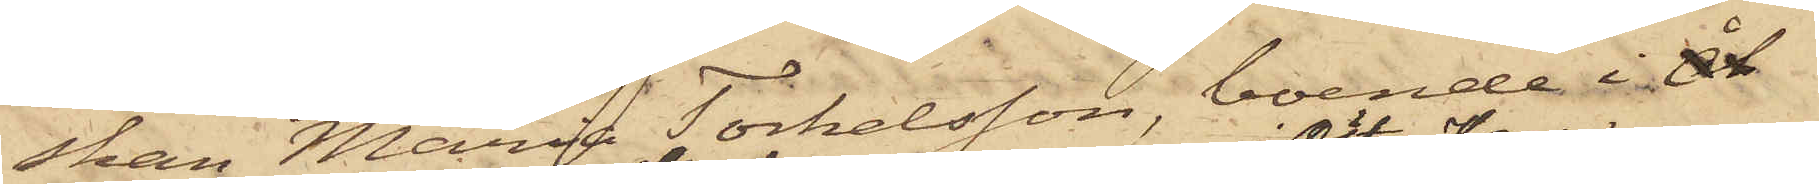skan Maria Torkelsson, boende i Åt
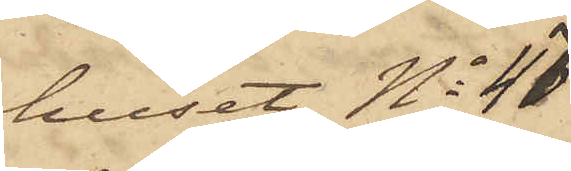huset No 47
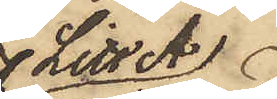Litt A
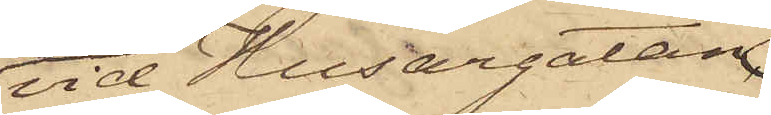vid Husargatan
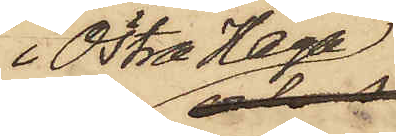i Östra Haga
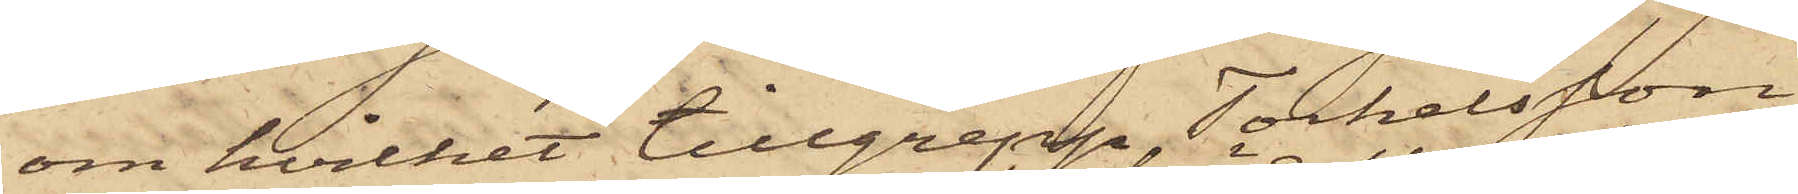om hvilket tillgrepp Torkelsson
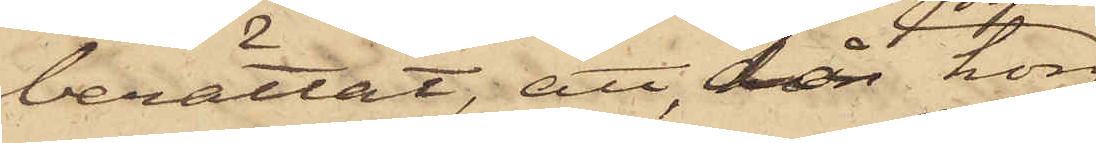berättat, att, då hon
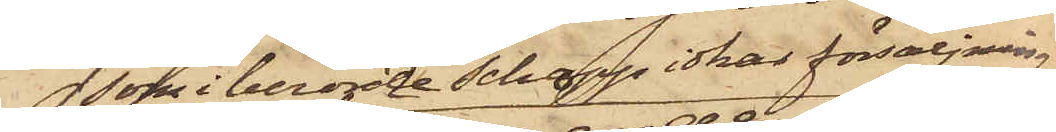som i berörde Schapp idkar försäljning
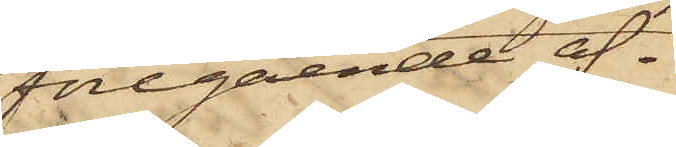föregående af¬
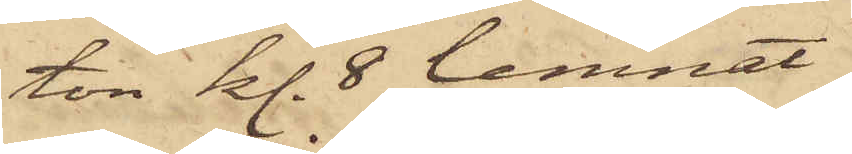ton kl. 8 lemnat
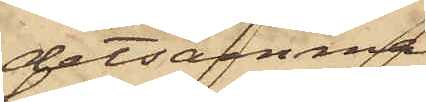detsamma
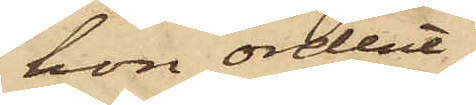hon ordent¬
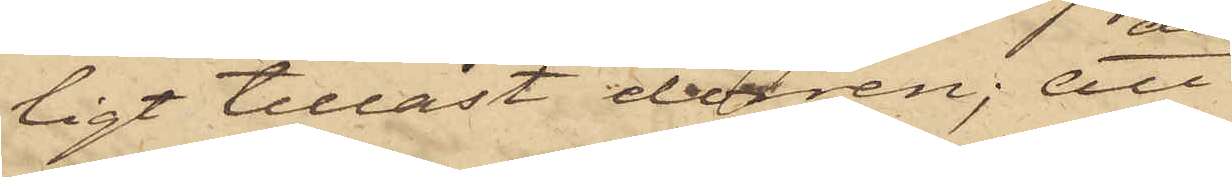ligt tillåst dörren; att
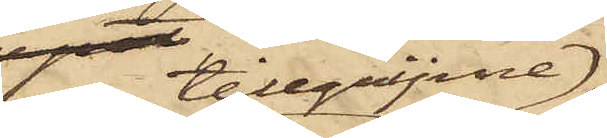den tillgripne
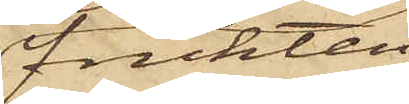frukten
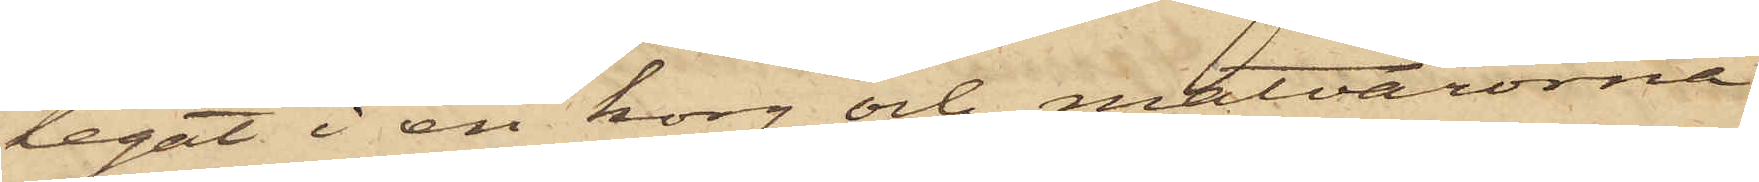legat i en korg och matvarorna
